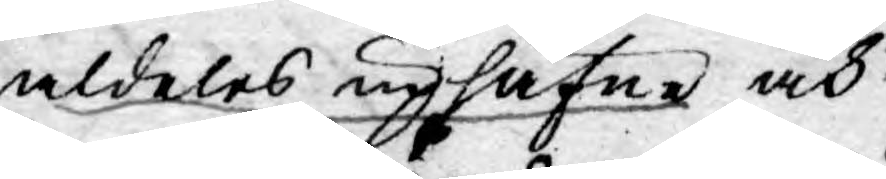aldeles uphäfne och
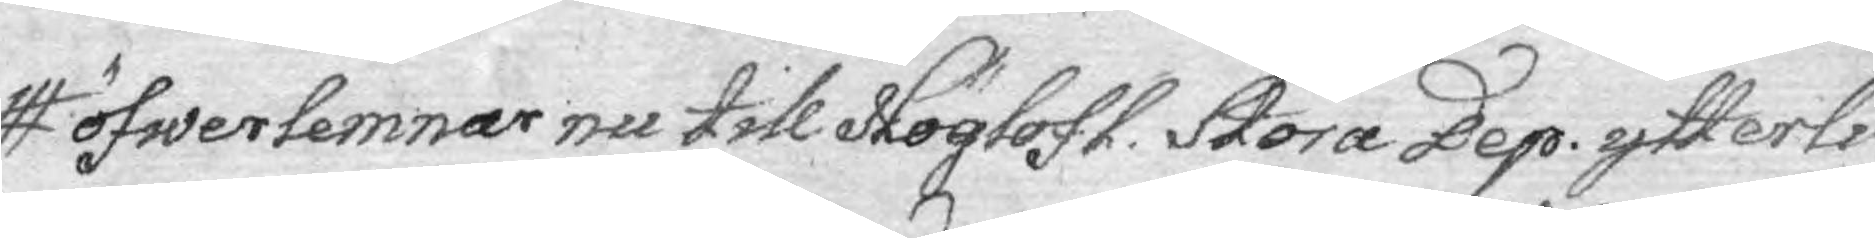öfwerlemnar nu till Höglofl. Stora Dep. ytterli¬
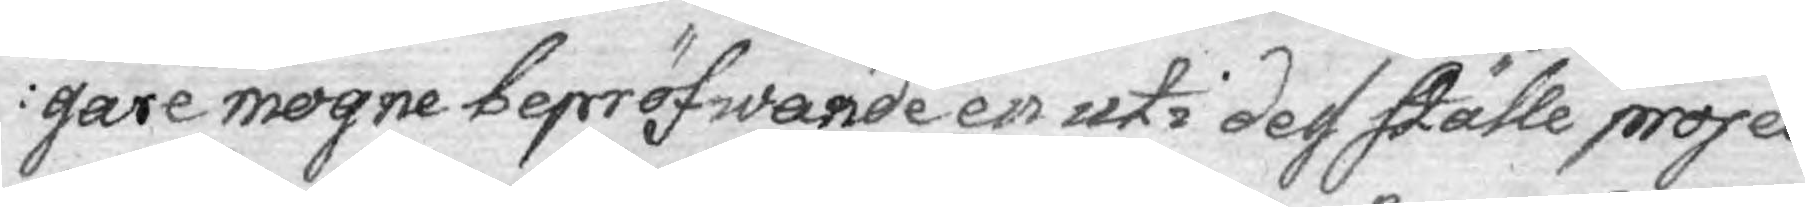gare mogne bepröfwande en uti dess ställe projec¬
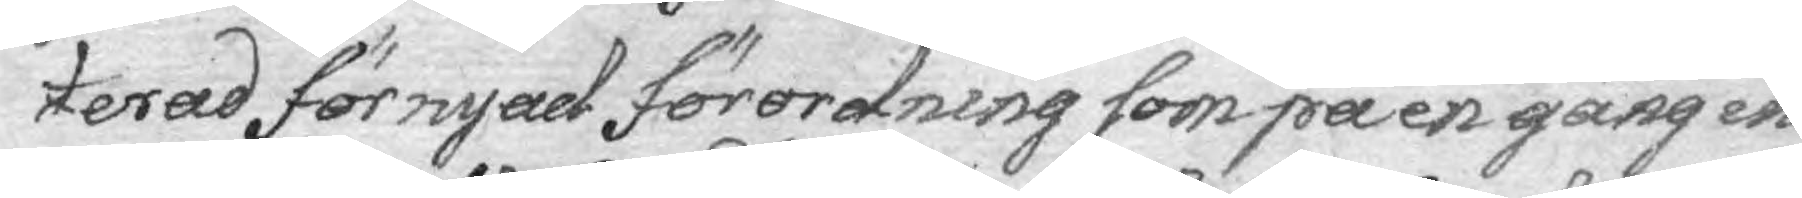terad förnyad förordning som på en gång in¬
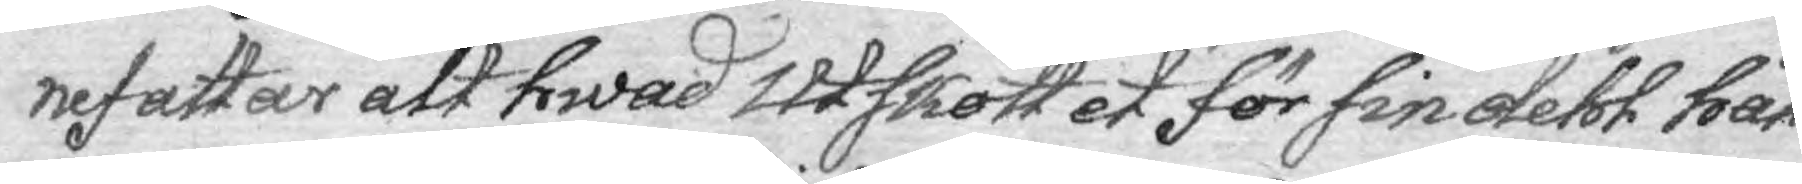nefattar alt hwad Utskottet för sin dehl hål¬
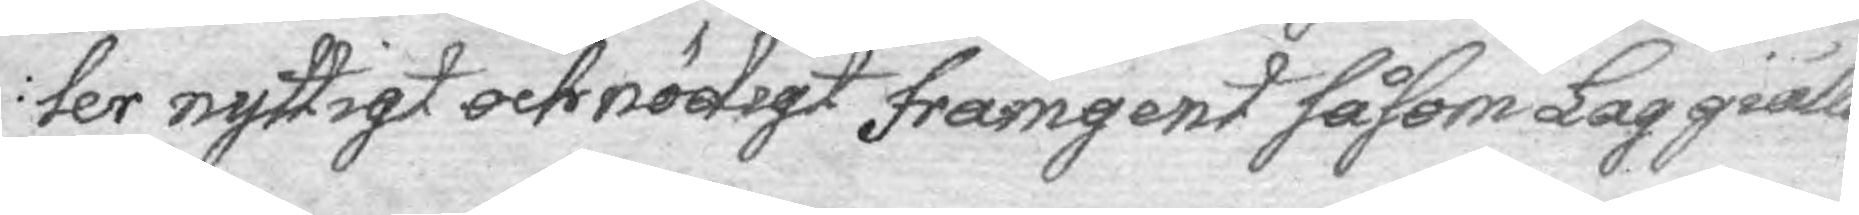ler nyttigt och nödigt framgent såsom Lag giälla
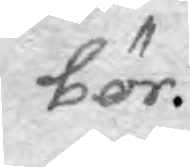bör.
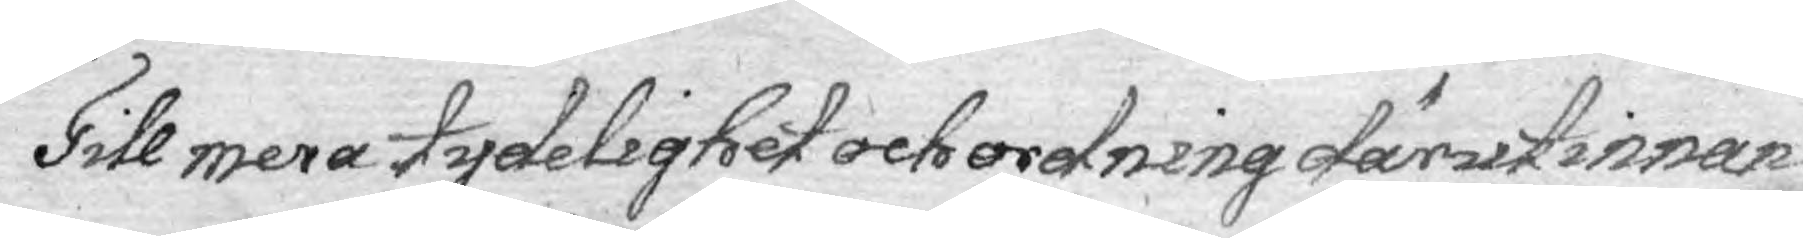Till mera tydelighet och ordning därutinnan
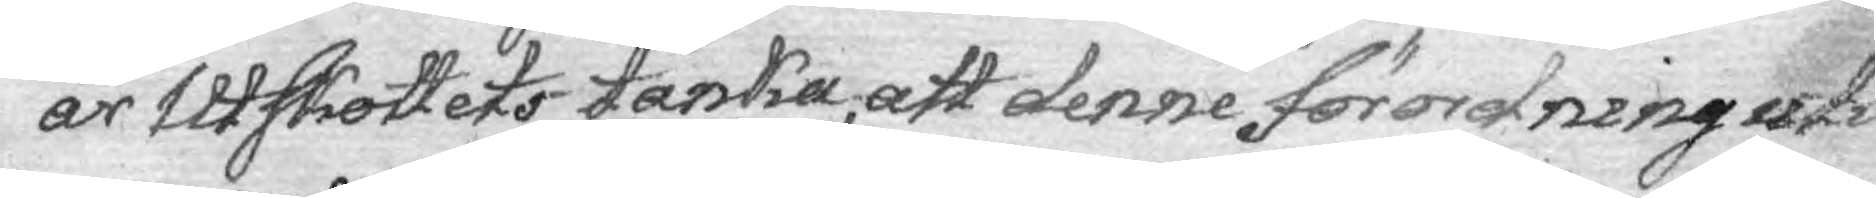är Utskottets tanka, att denne förordning uti
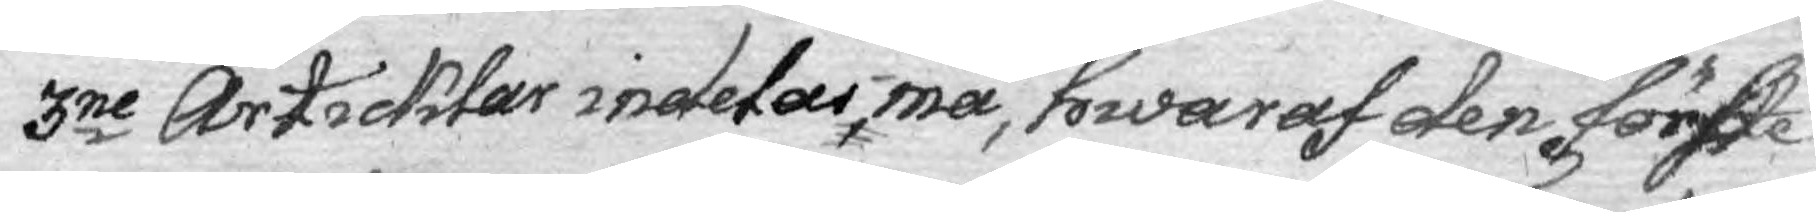3ne Articklar indelas må, hwaraf den förste
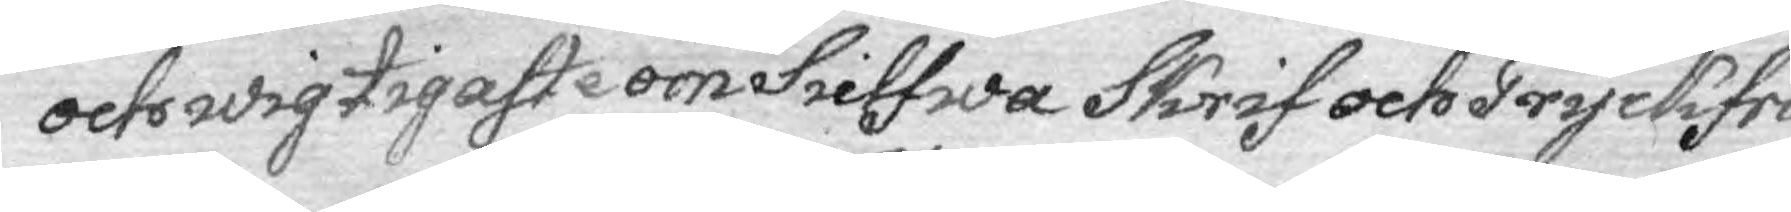och wigtigaste om sielfwa Skrif och Tryckfri¬
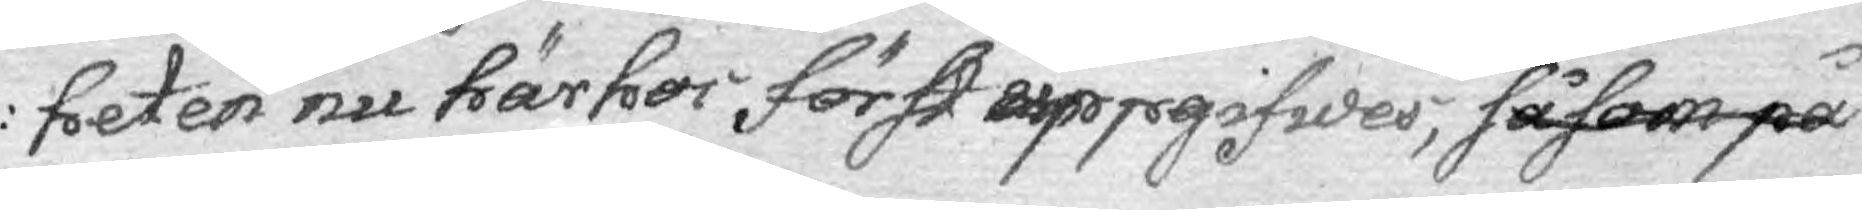heten nu här hos först uppgifwes, såsom på
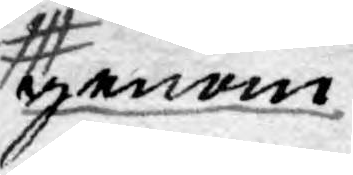genom
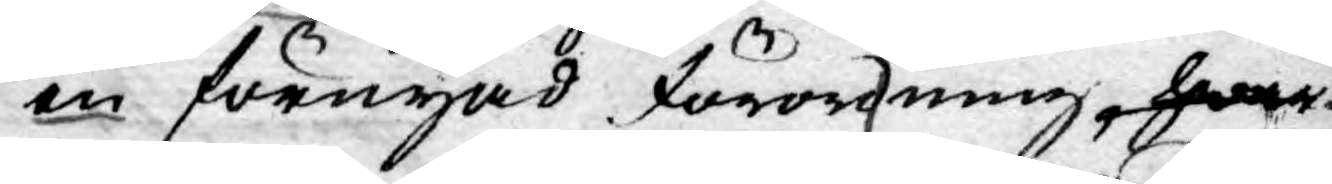en förnyad förordning, hwar
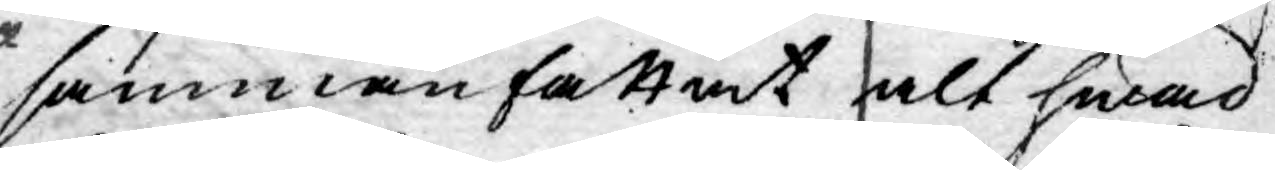sammanfattat alt hwad
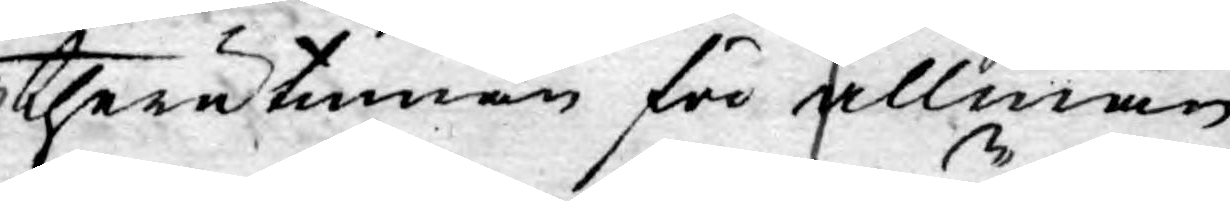therutinnan för allmän
